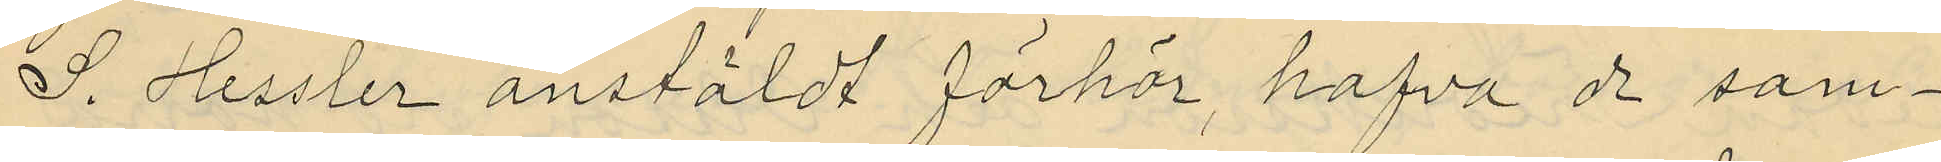S. Hessler anstäldt förhör, hafva de sam¬
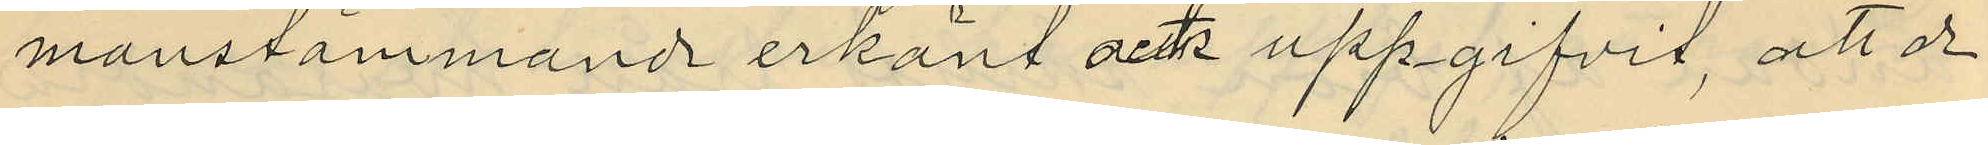manstämmande erkänt ock uppgifvit, att de
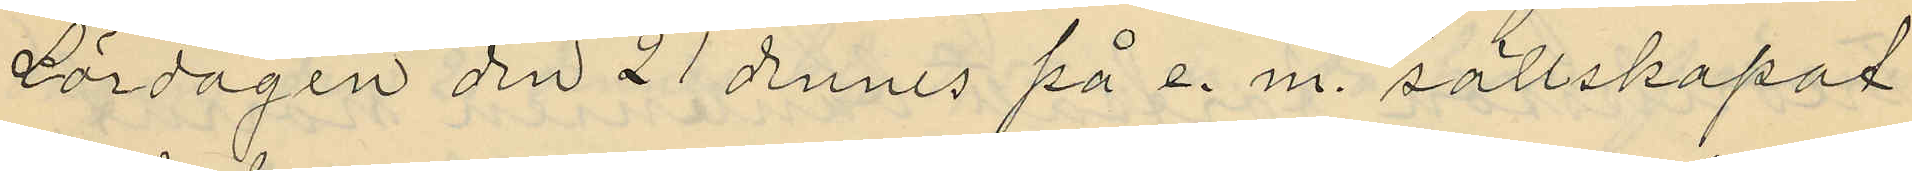lördagen den 21 dennes på e. m. sällskapat
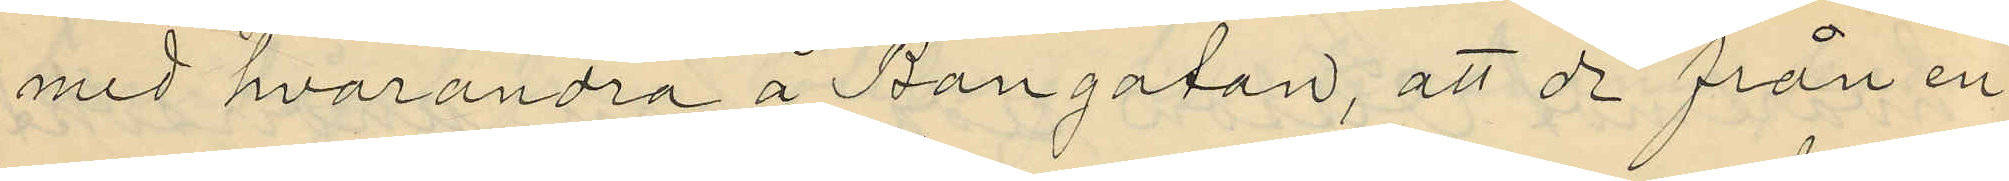med hvarandra å Bangatan, att de från en
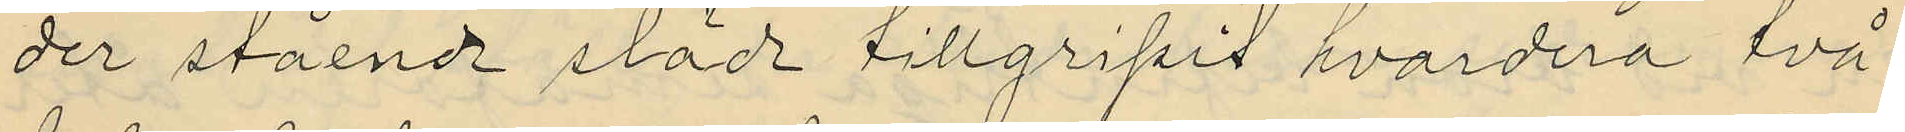der stående släde tillgripit hvardera två
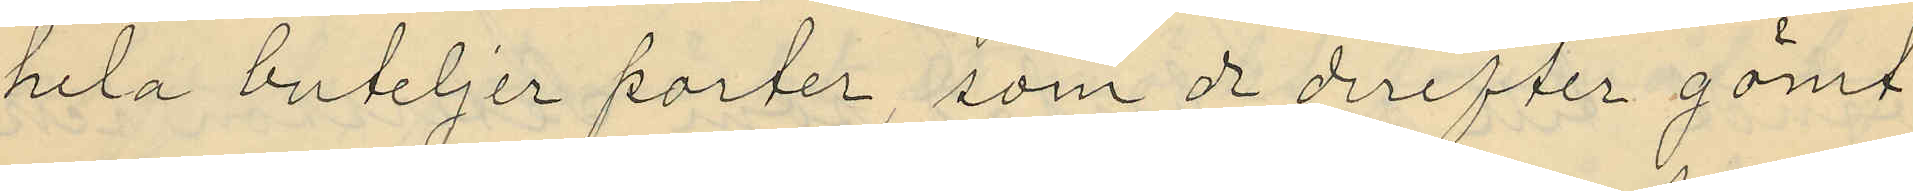hela buteljer porter, som de derefter gömt
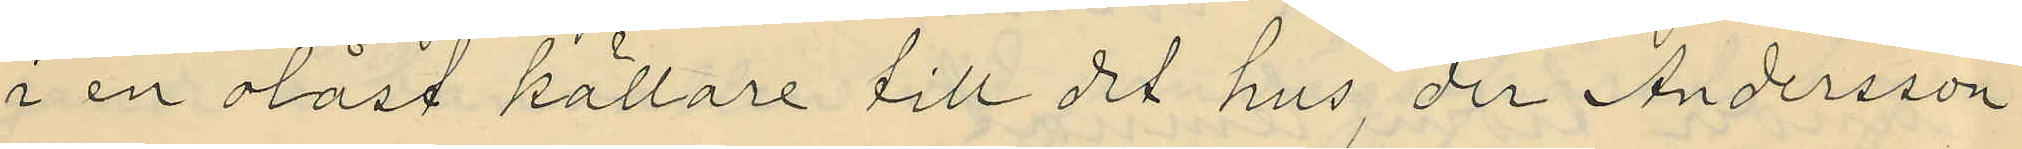i en olåst källare till det hus, der Andersson
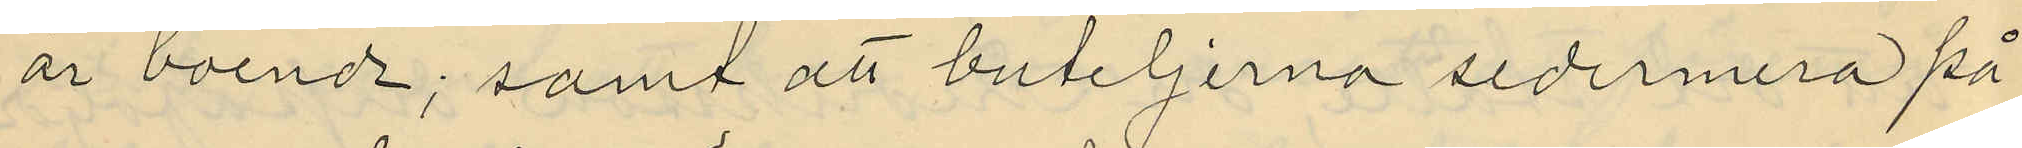är boende; samt att buteljerna sedermera på
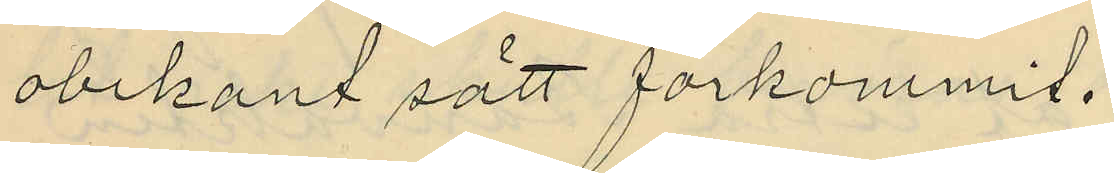obekant sätt förkommit.
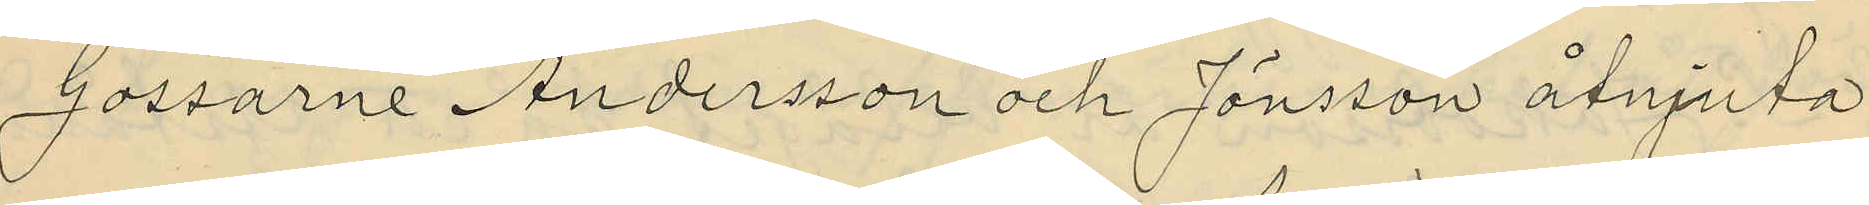Gossarne Andersson och Jönsson åtnjuta
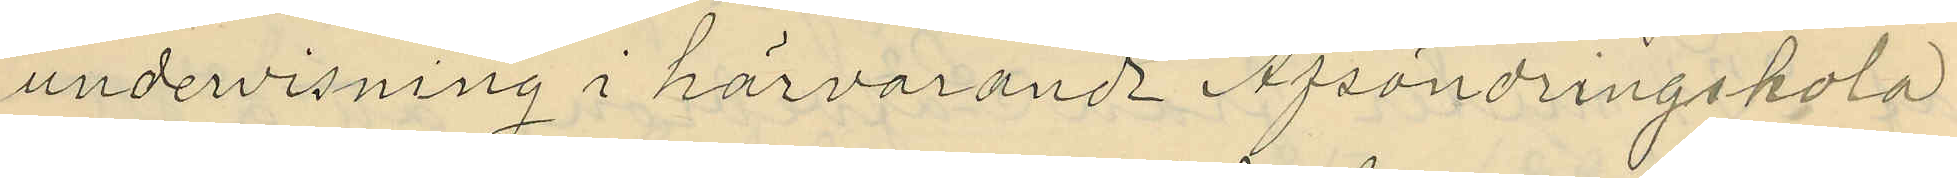undervisning i härvarande Afsöndringskola
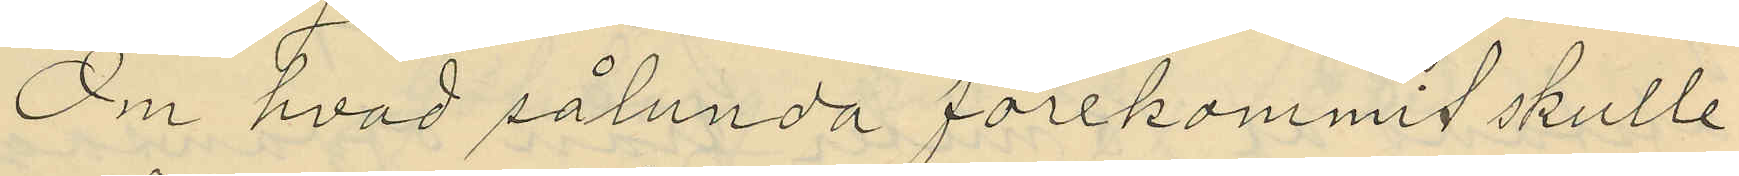Om hvad sålunda förekommit skulle
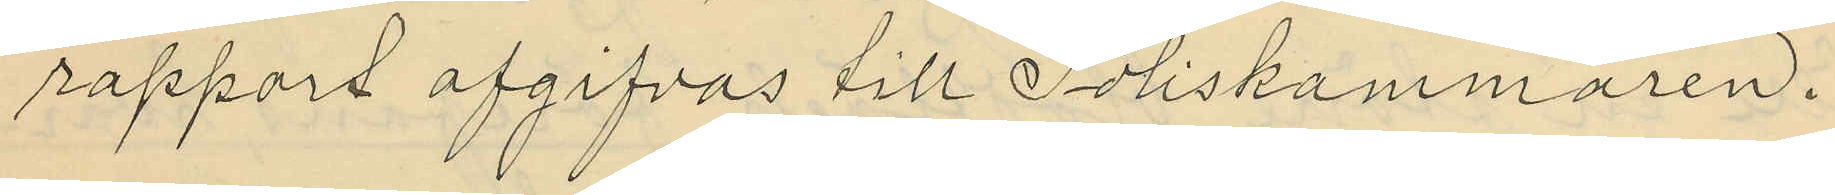rapport afgifvas till Poliskammaren.
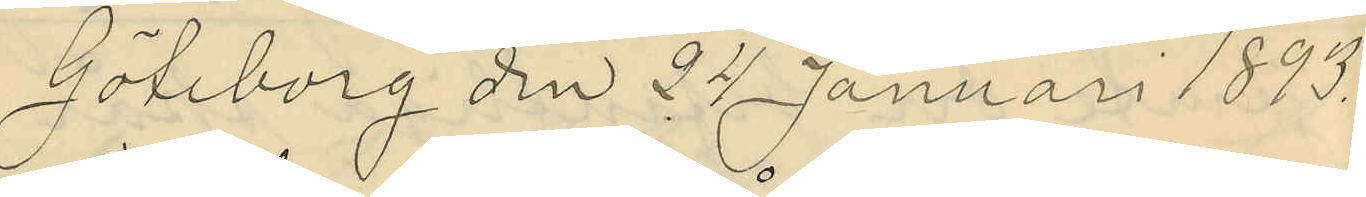Göteborg den 24 Januari 1893.
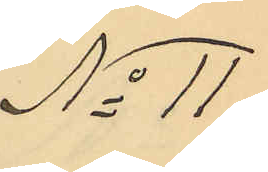No 11
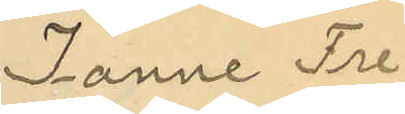Janne Fre¬
